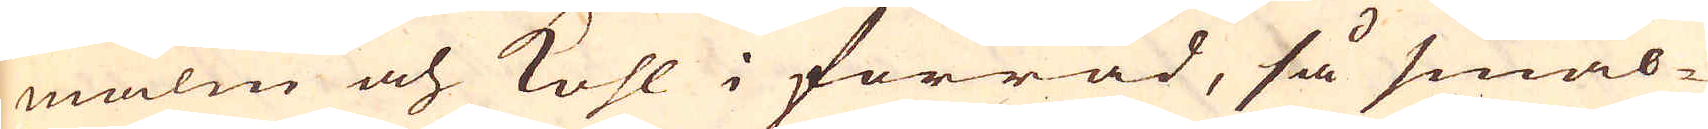malm och kohl i förråd, så smäl-
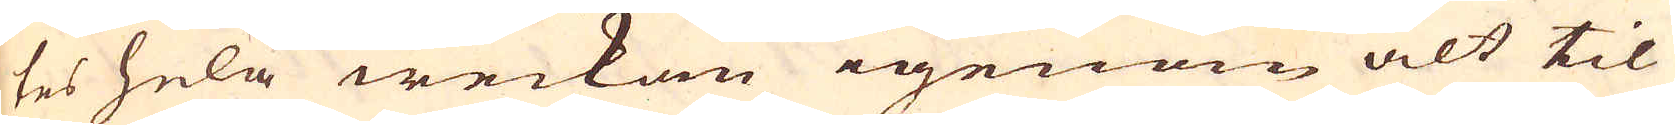tes hela weckan igenom alt til
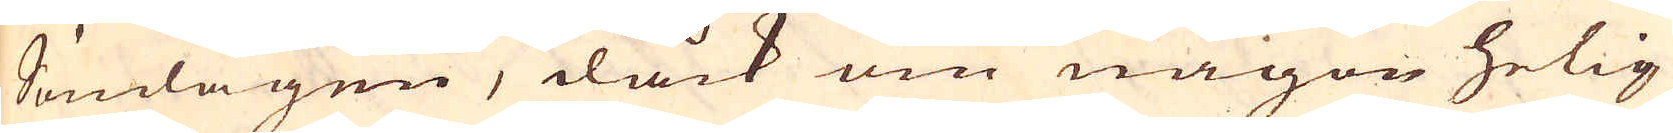Söndagen, dåck om någon helig
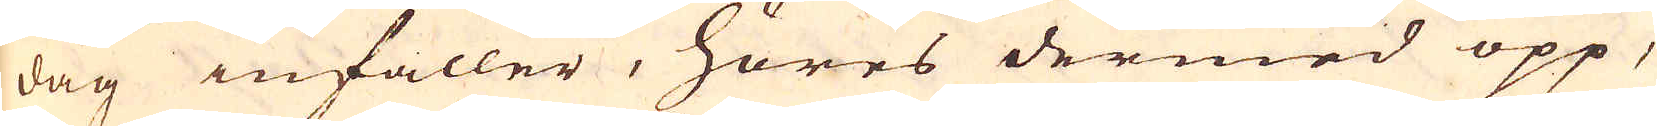dag infaller, höres dermed opp,
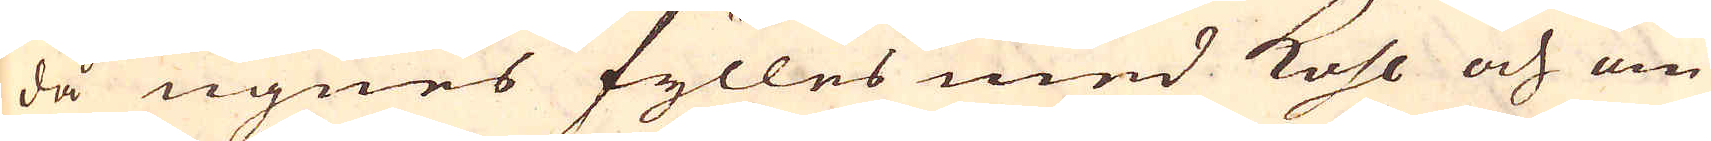då ugnes fylles med kohl och om
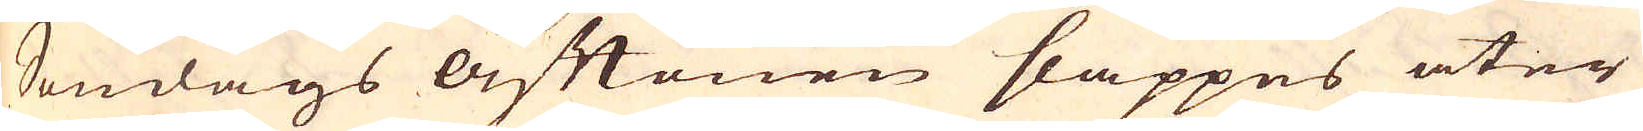Söndags Aftonen släppes åter
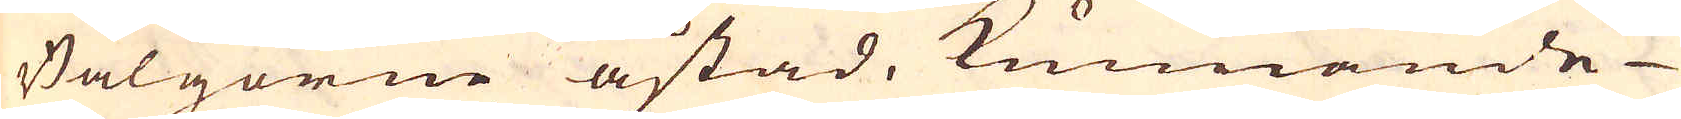Bälgorne åstad, kunnande
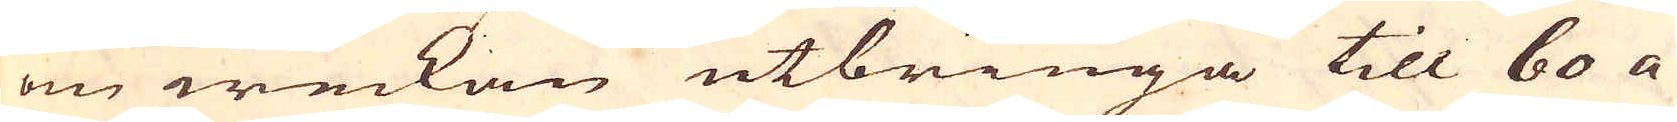om weckan utbringa till 60 a
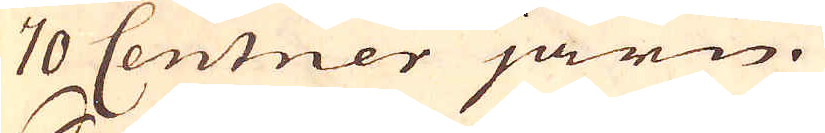70 Centner järn.
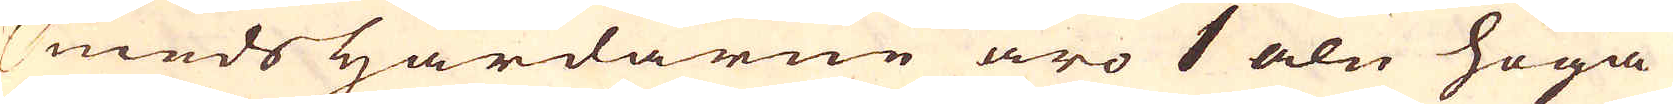Smeds Härdarne äro 1 aln höga
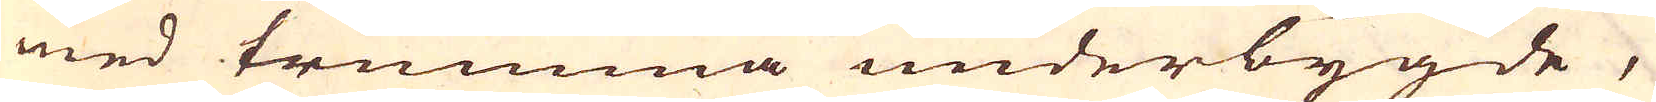med trumma underbygde,
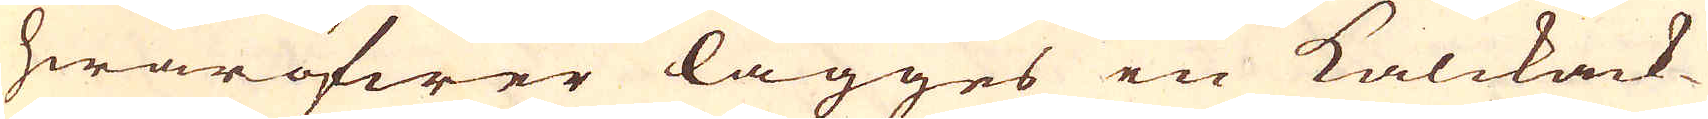hwaröfwer lägges en kalckack-
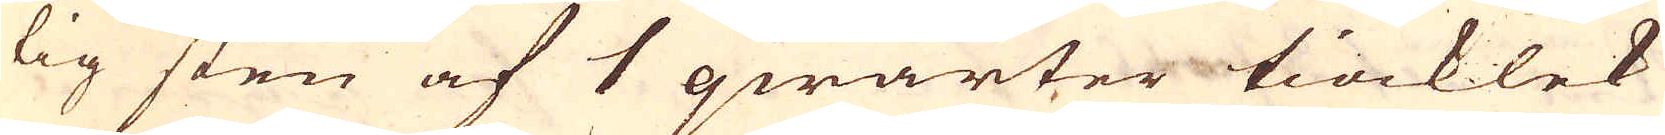tig sten af 1 qwarter tiocklek
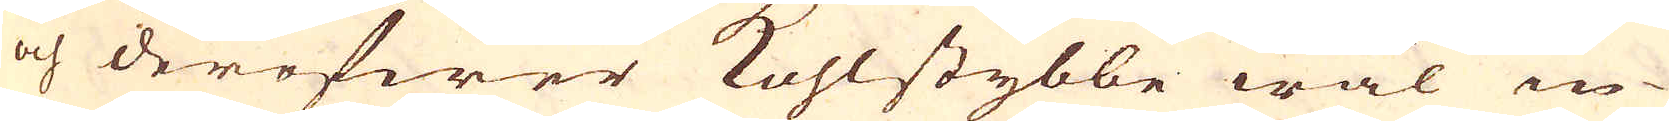och deröfwer kohlstybbe wäl in-
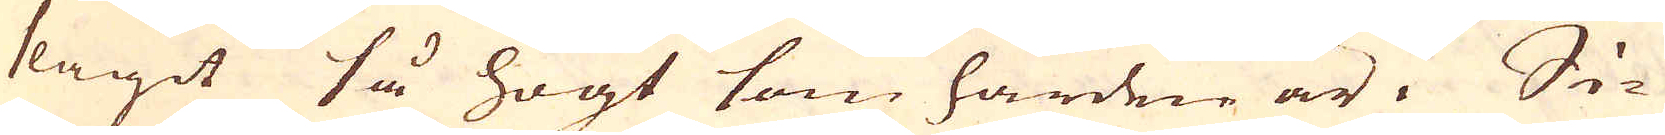slagit så högt som härden är. Si-
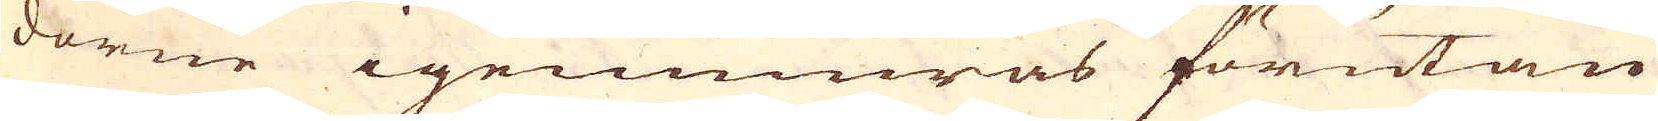dorne igenmuras förutan
